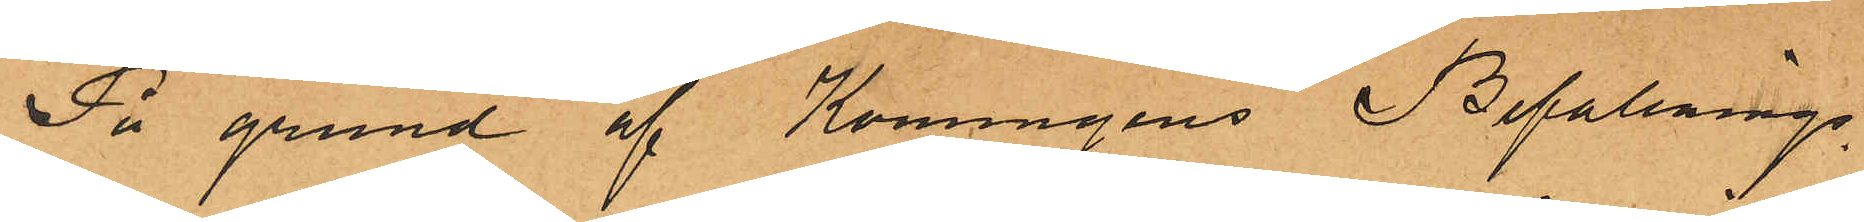På grund af Konungens Befallnings¬
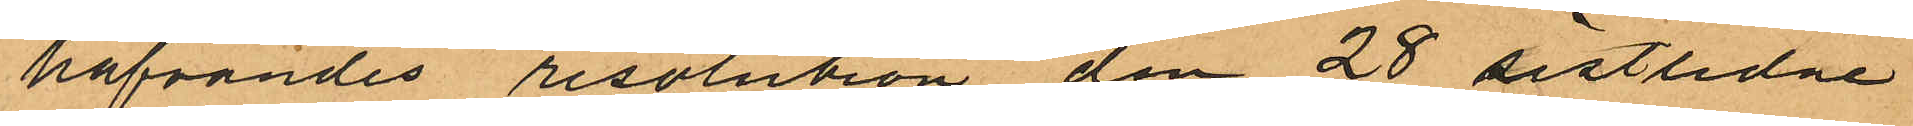hafvandes resolution den 28 sistlidne
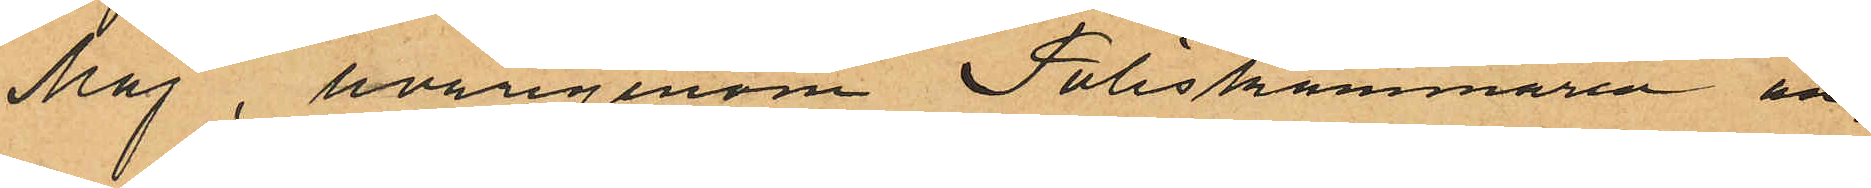Maj, hvarigenom Poliskammaren an¬
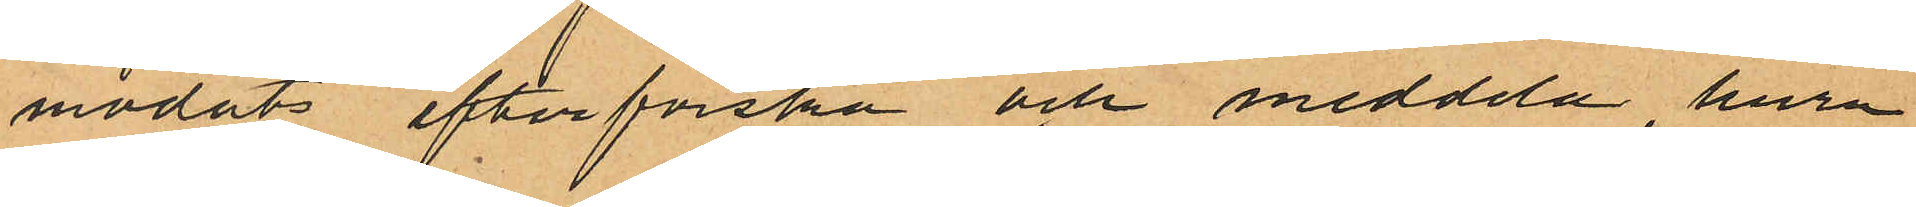modats efterforska och meddela, huru
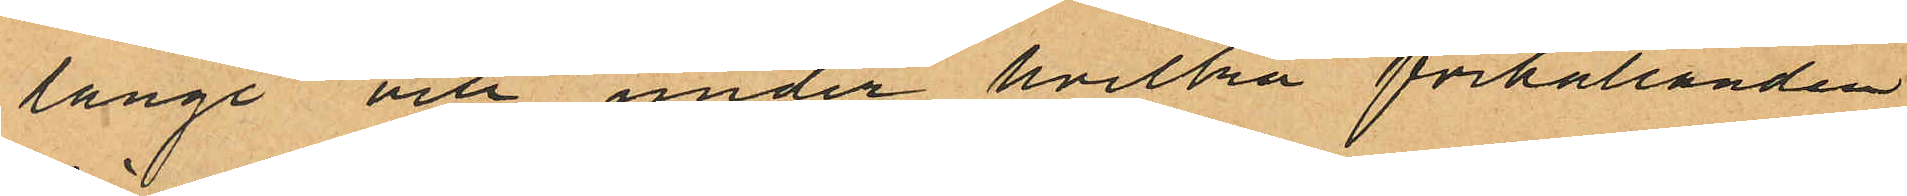länge och under hvilka förhållanden
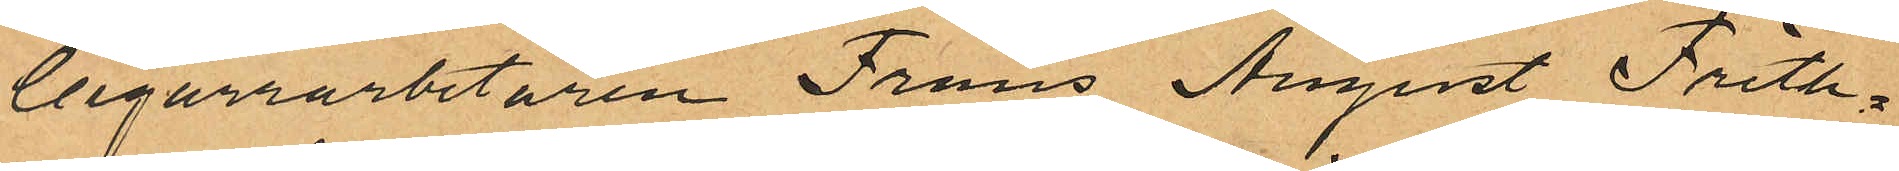Cigarrarbetaren Frans August Frith¬
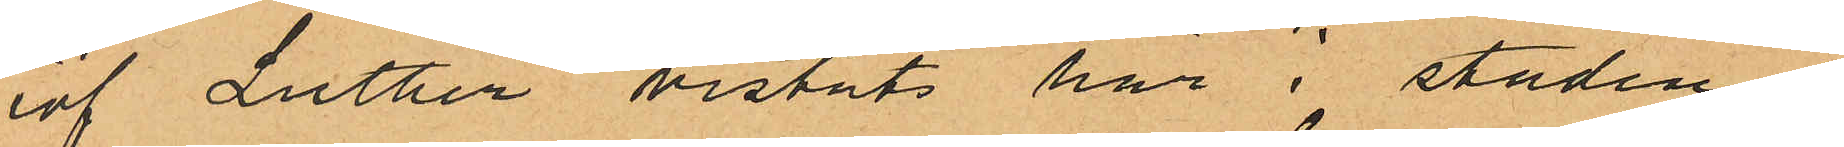iof Luther vistats här i staden
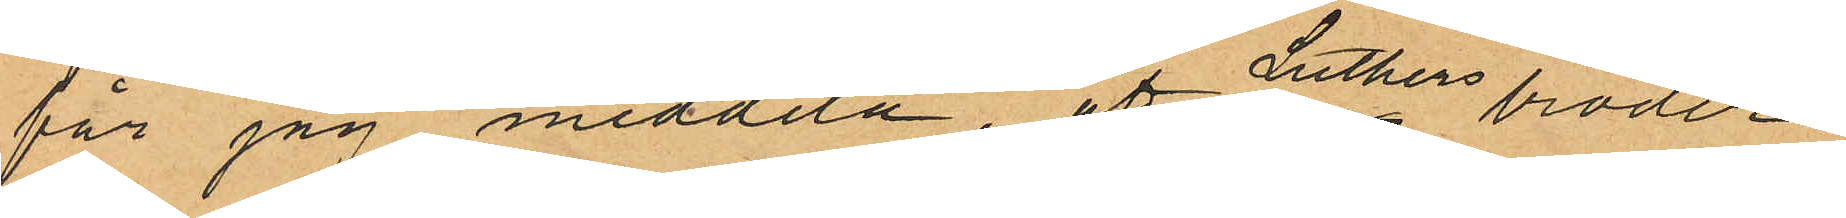får jag meddela, af Luthers broder
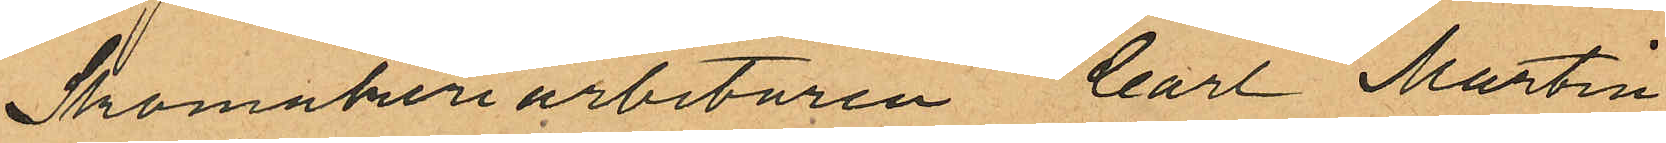Skomakeriarbetaren Carl Martin
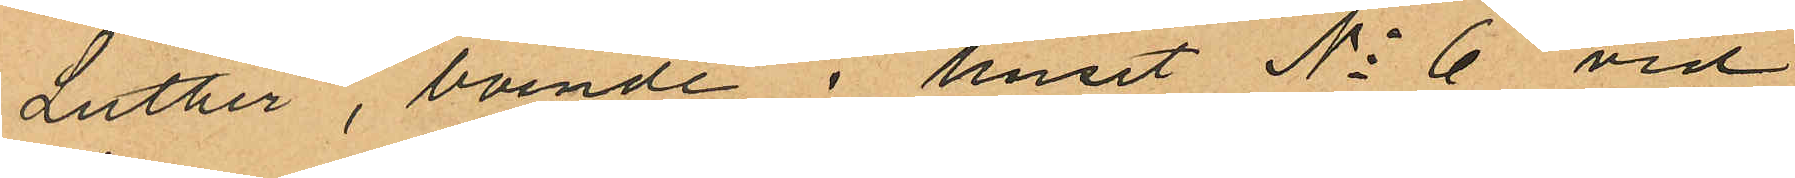Luther, boende i huset No 6 vid
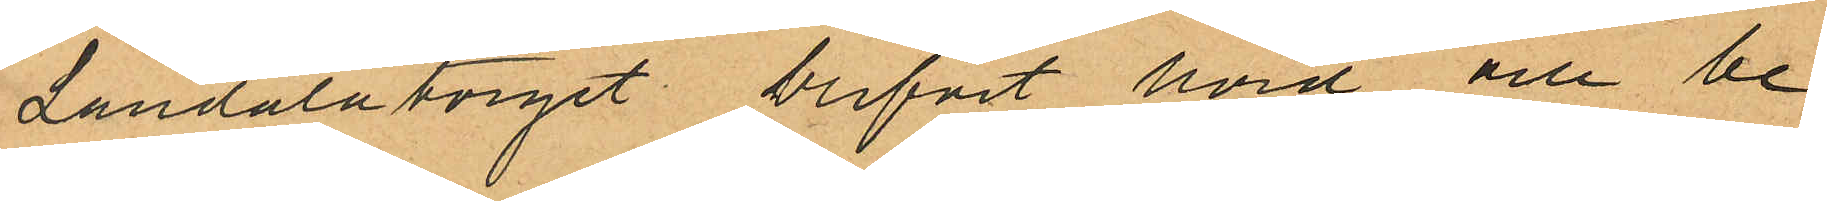Landalatorget blifvit hörd och be¬
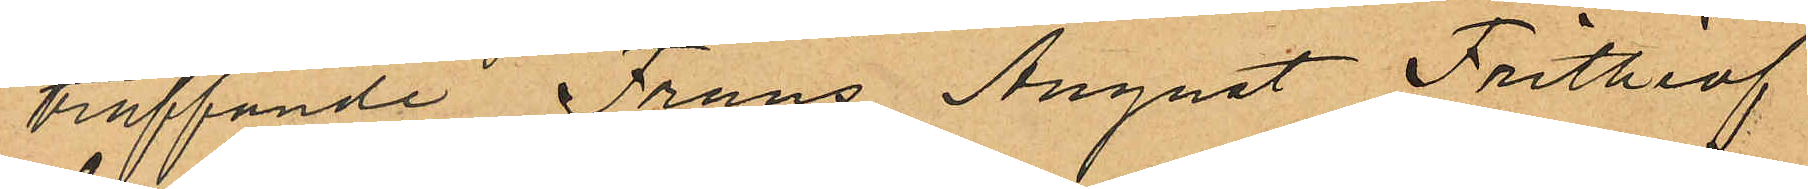träffande Frans August Frithiof
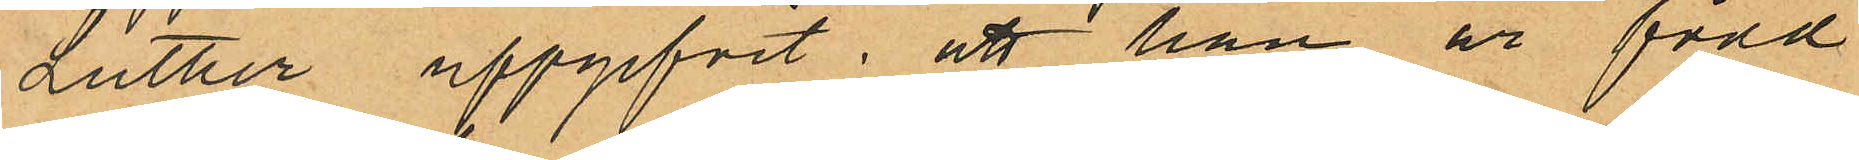Luther uppgifvit: att han är född
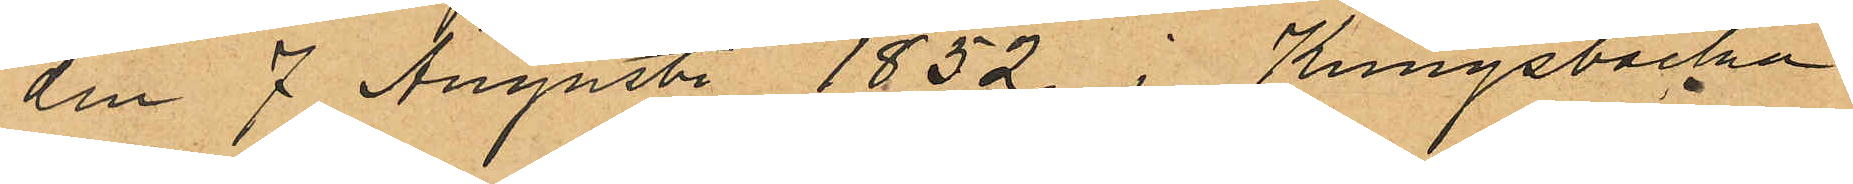den 7 Augusti 1852 i Kungsbacka
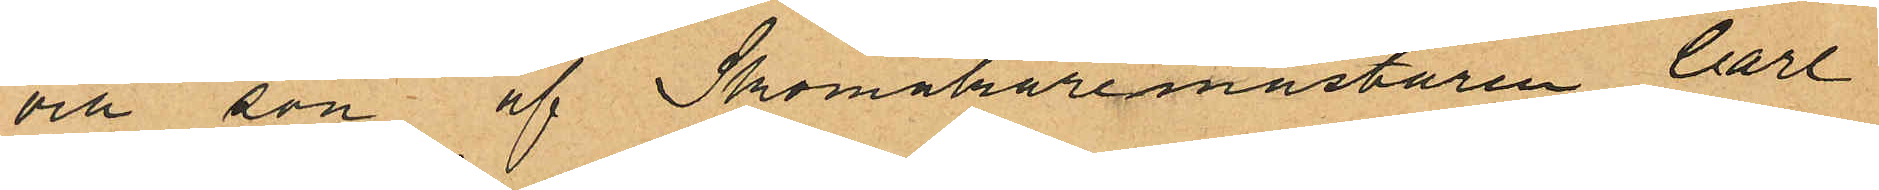och son af Skomakaremästaren Carl
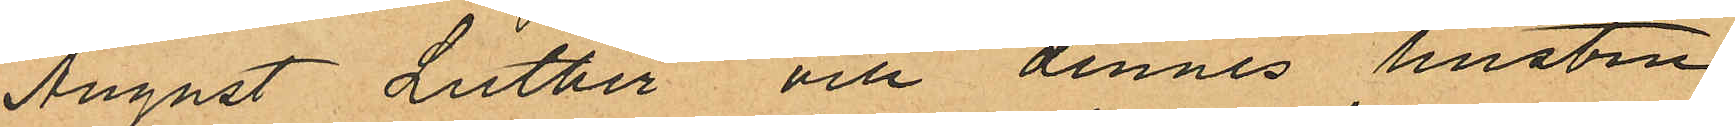August Luther och dennes hustru
